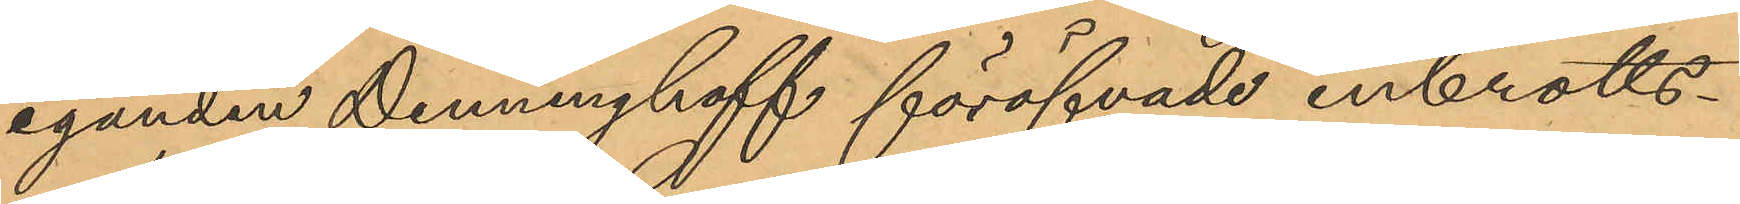eganden Denninghoff föröfvade inbrotts¬
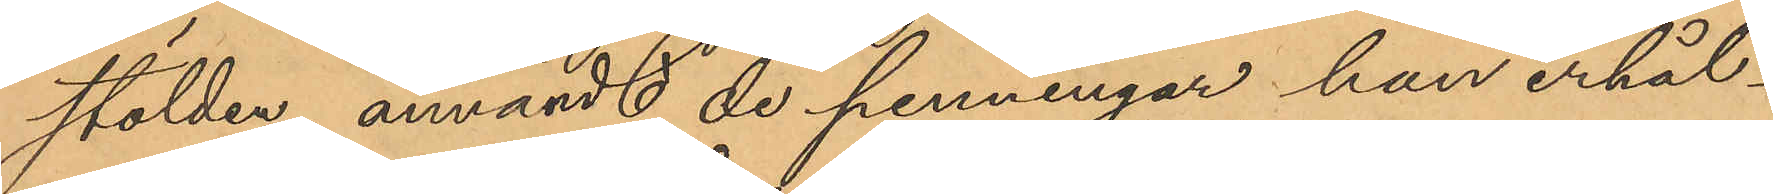stölden, användt de penningar han erhål¬
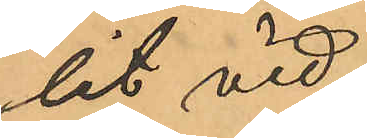lit vid
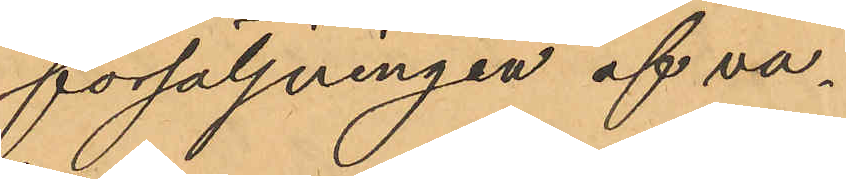försäljningen af va¬
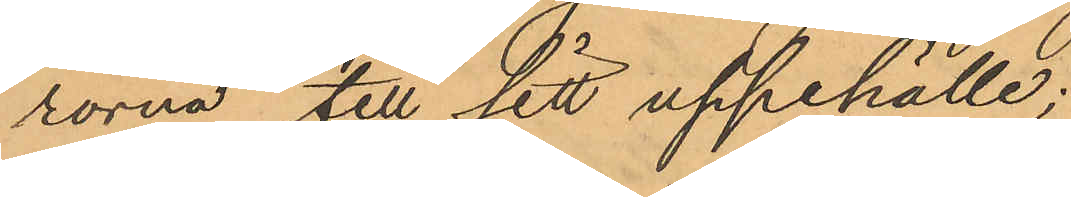rorna till sitt uppehälle;
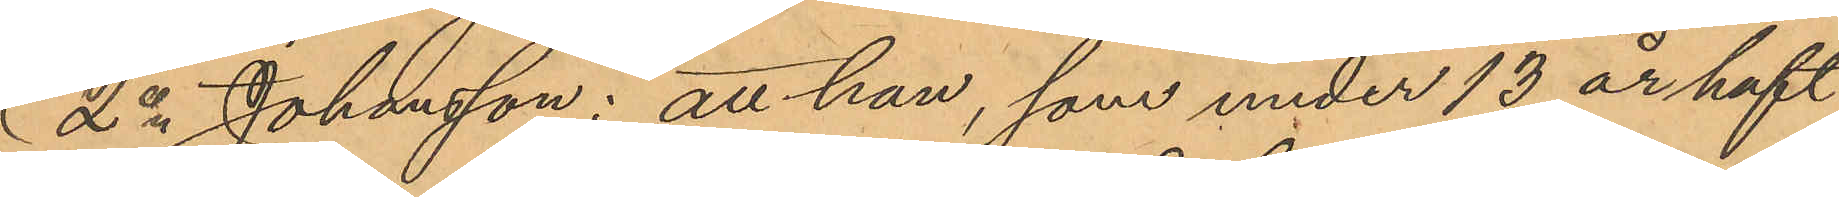2o Johansson: att han, som under 13 år haft
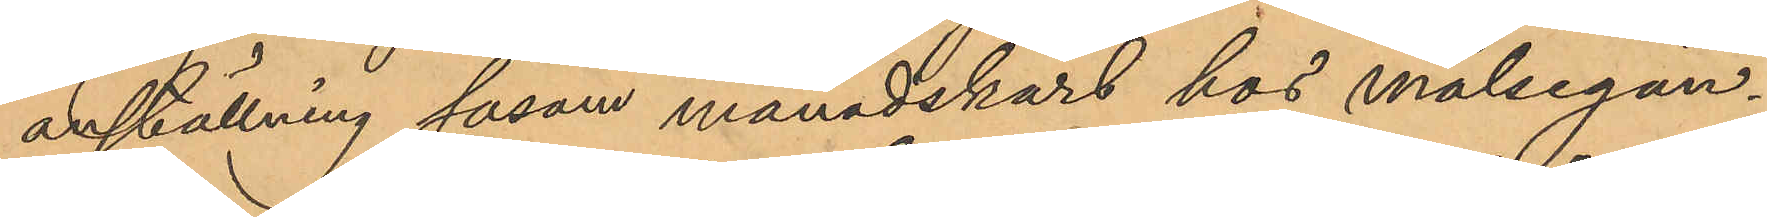anställning såsom månadskarl hos målsegan¬
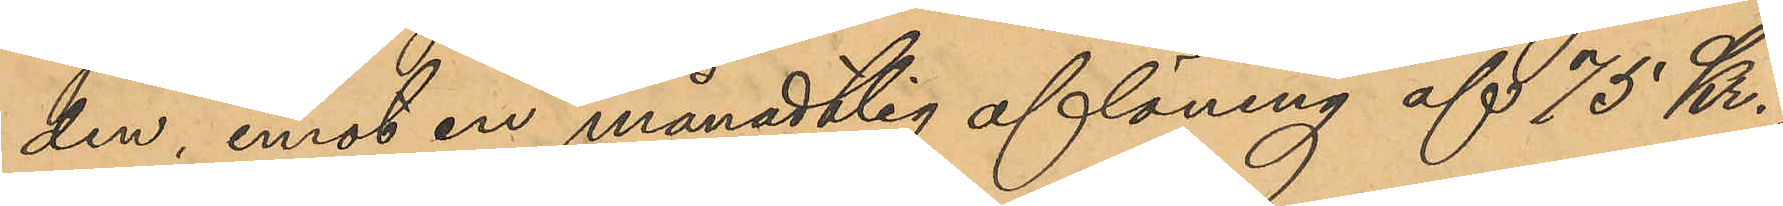den, emot en månadtlig aflöning af 75 Kr,
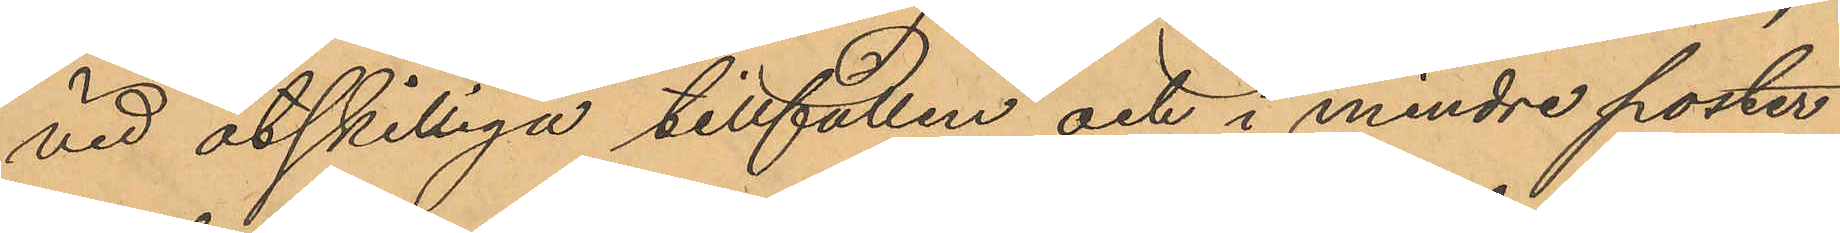vid åtskilliga tillfällen och i mindre poster
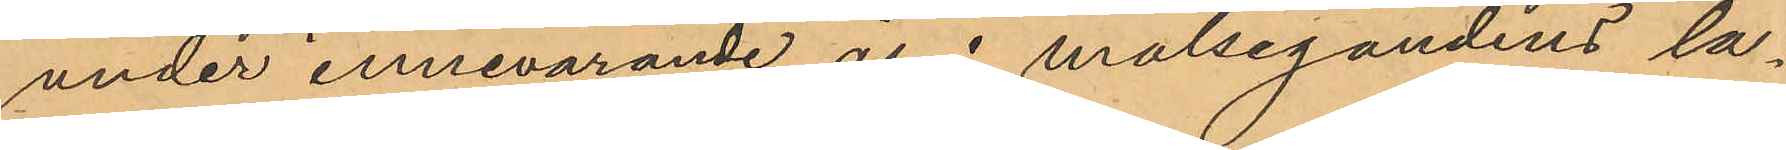under innevarande år i målsegandens la¬
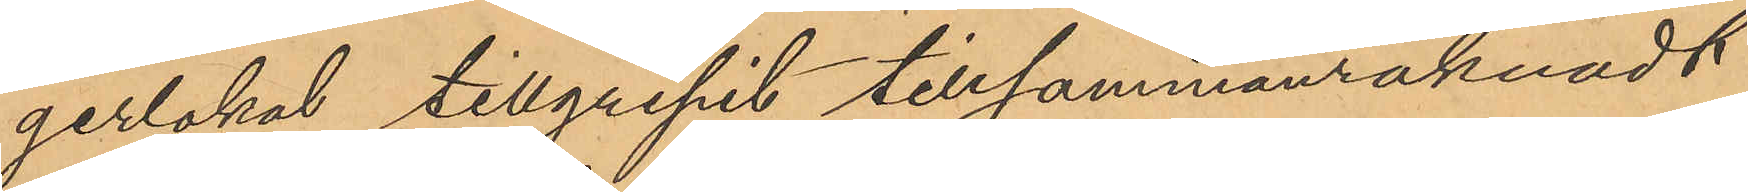gerlokal tillgripit tillsammanräknadt
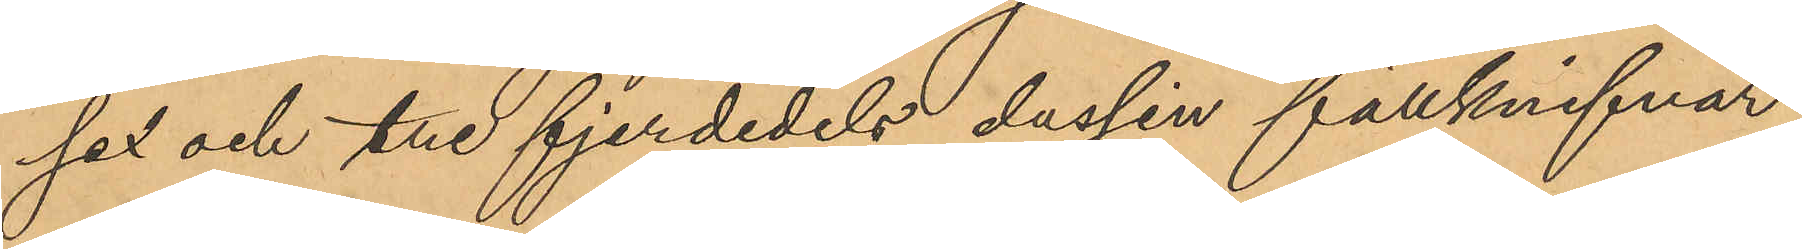sex och tre fjerdedels dussin fällknifvar,
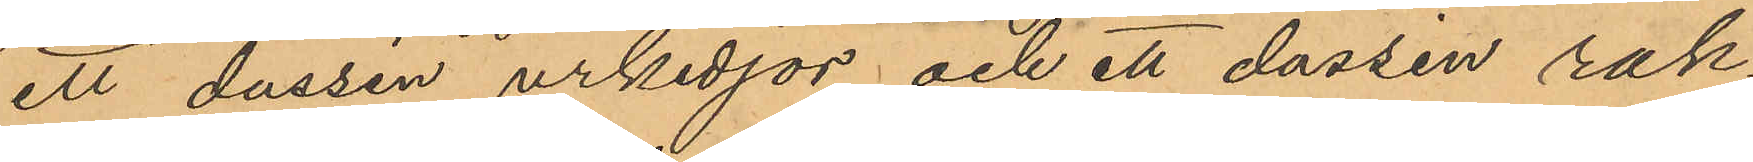ett dussin urkedjor och ett dussin rak¬
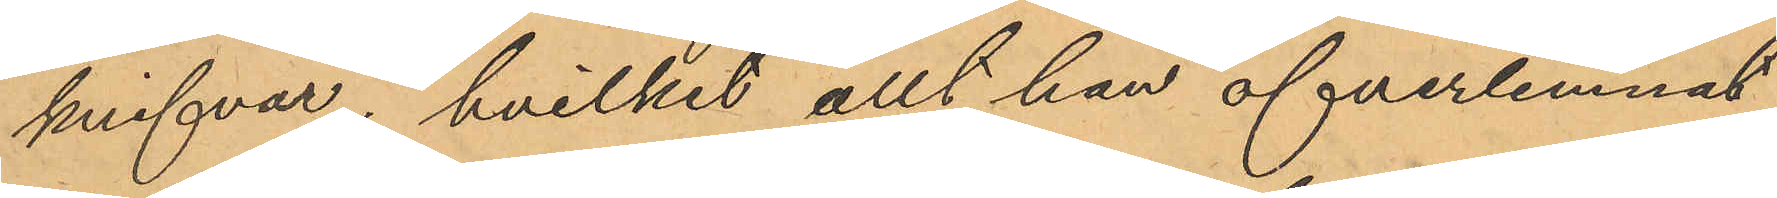knifvar; hvilket allt han öfverlemnat
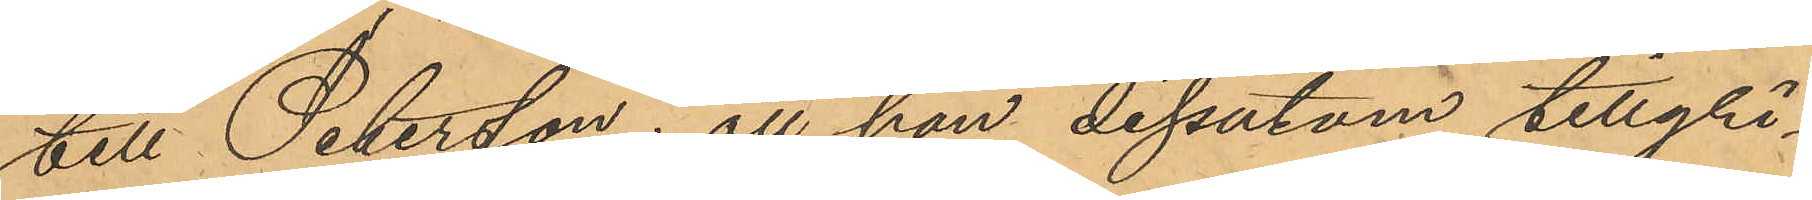till Petersson; att han dessutom tillgri¬
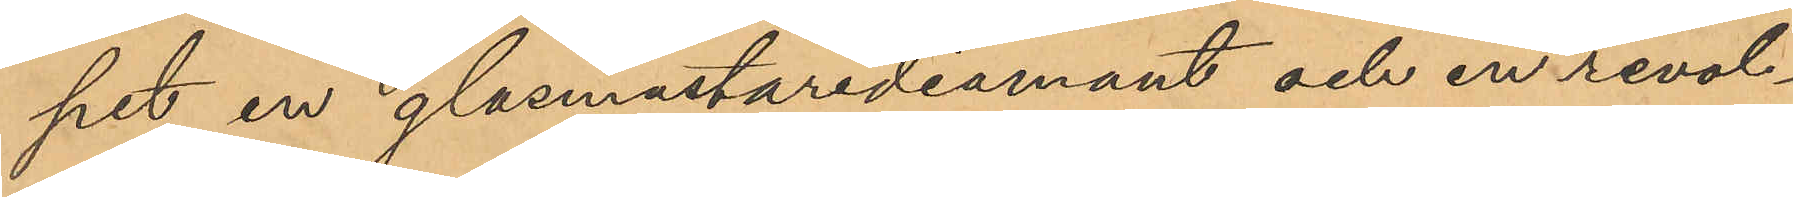pit en glasmästarediamant och en revol¬
